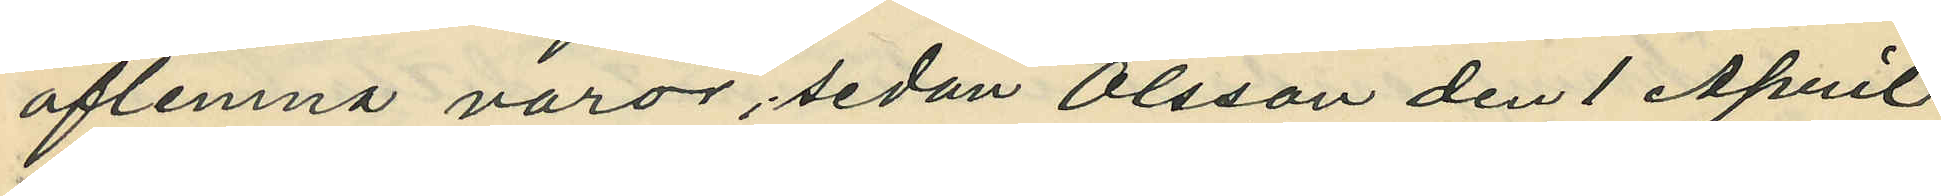aflemna varor, sedan Olsson den 1 April
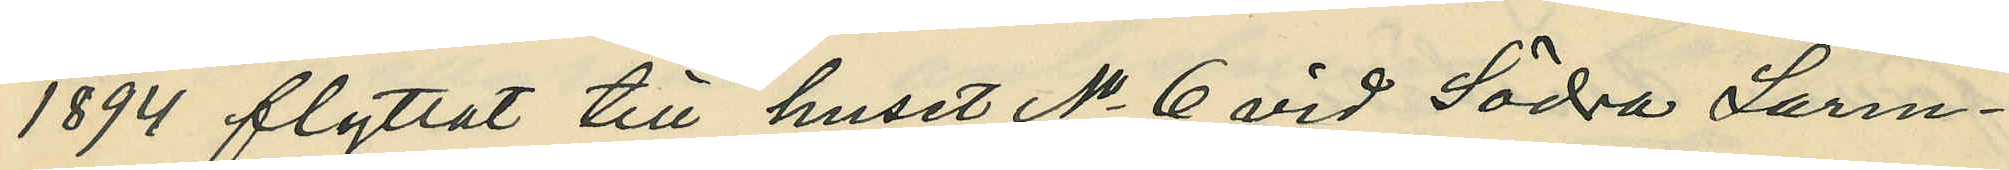1894 flyttat till huset No 6 vid Södra Larm¬
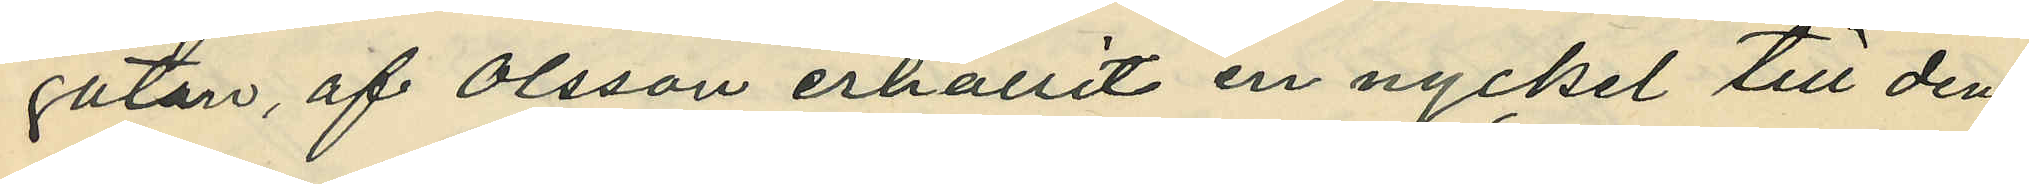gatan, af Olsson erhållit en nyckel till den¬
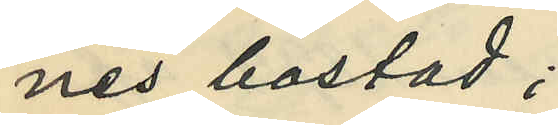nes bostad;
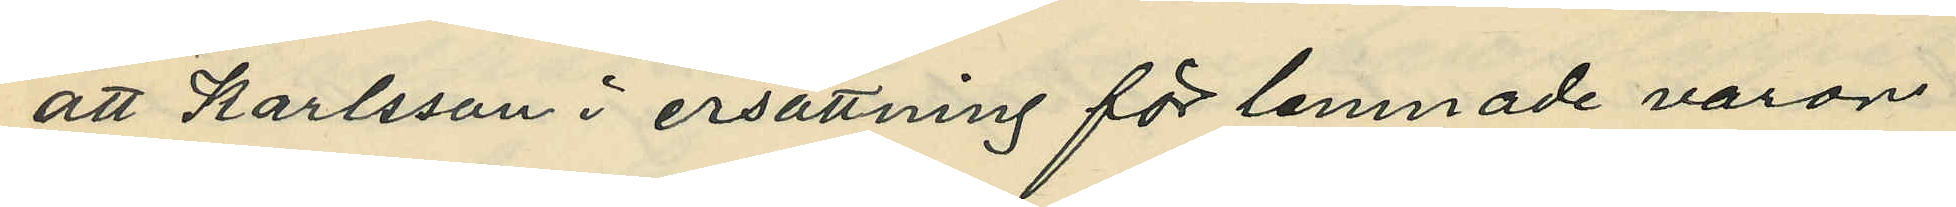att Karlsson i ersättning för lemnade varor
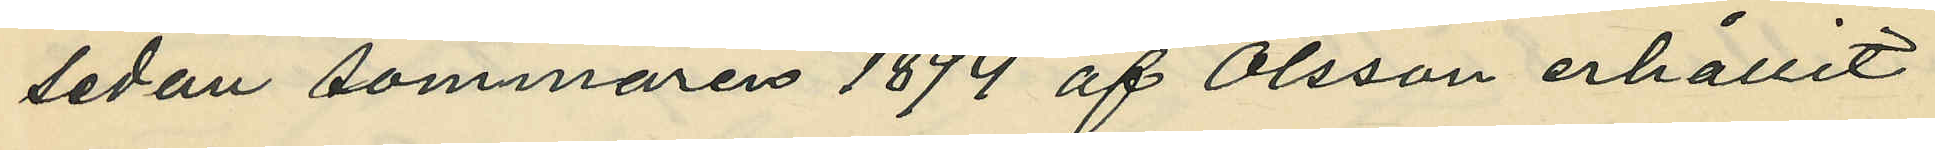sedan sommaren 1894 af Olsson erhållit
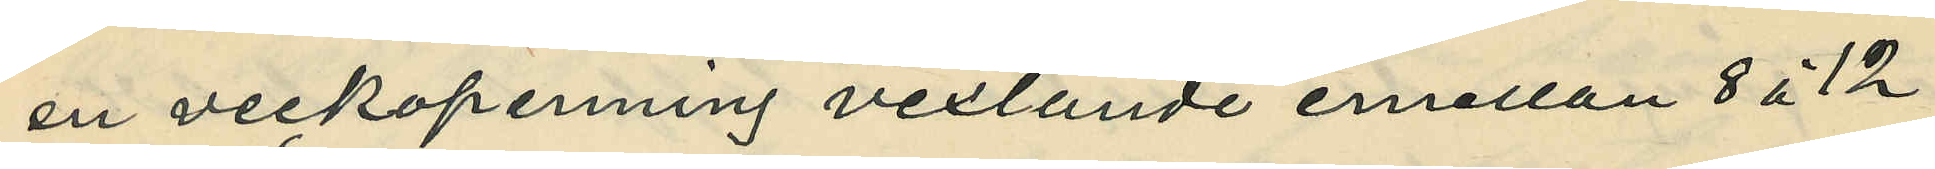en veckopenning vexlande emellan 8 à 12
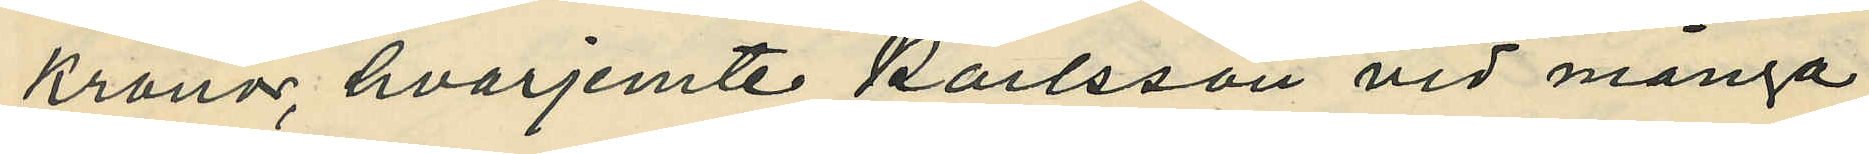kronor hvarjemte Karlsson vid många
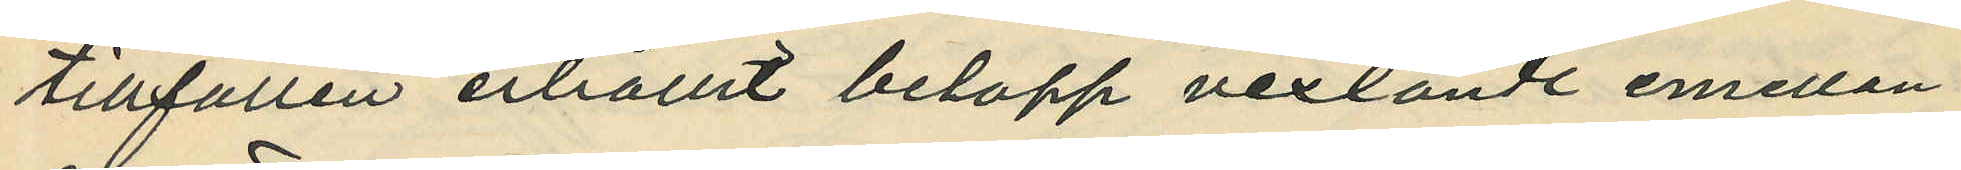tillfällen erhållit belopp vexlande emellan
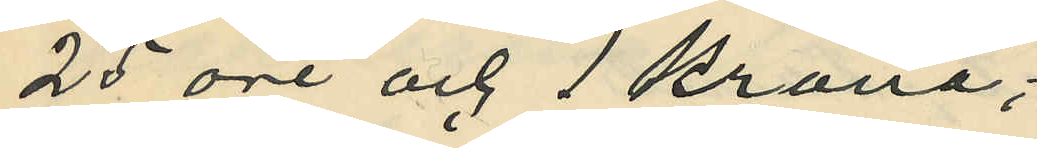25 öre och 1 krona;
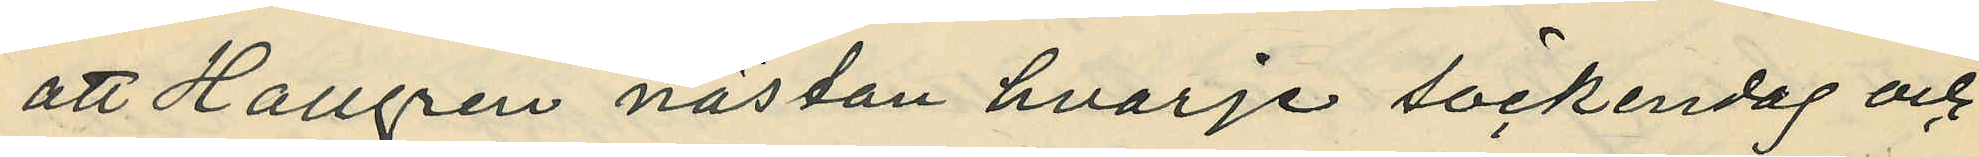att Hallgren nästan hvarje söckendag och
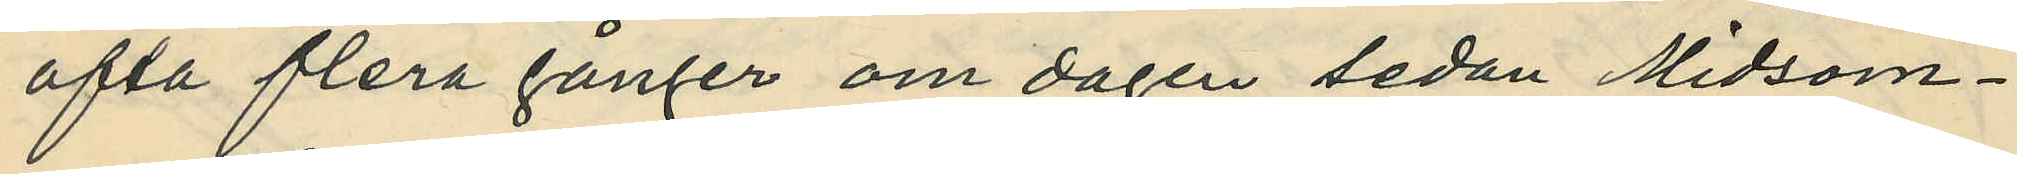ofta flera gånger om dagen sedan Midsom¬
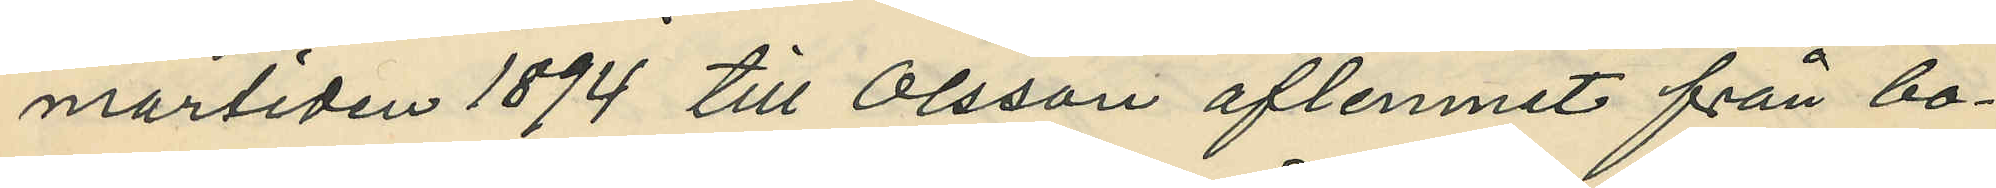martiden 1894 till Olsson aflemnat från bo¬
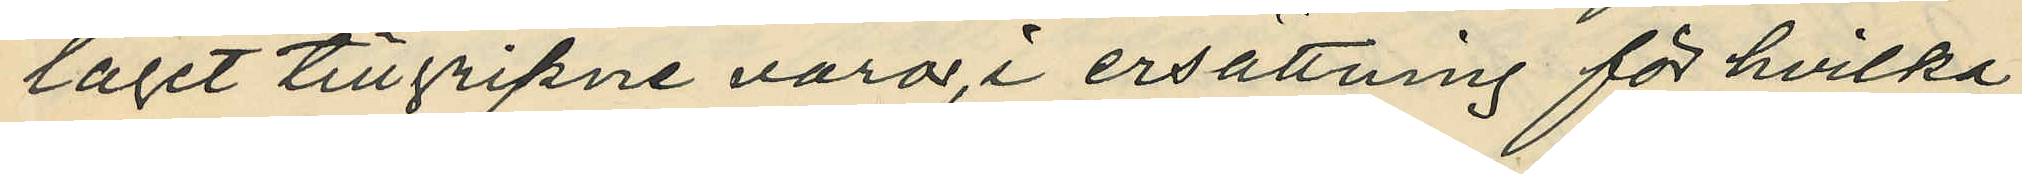laget tillgripne varor, i ersättning för hvilka
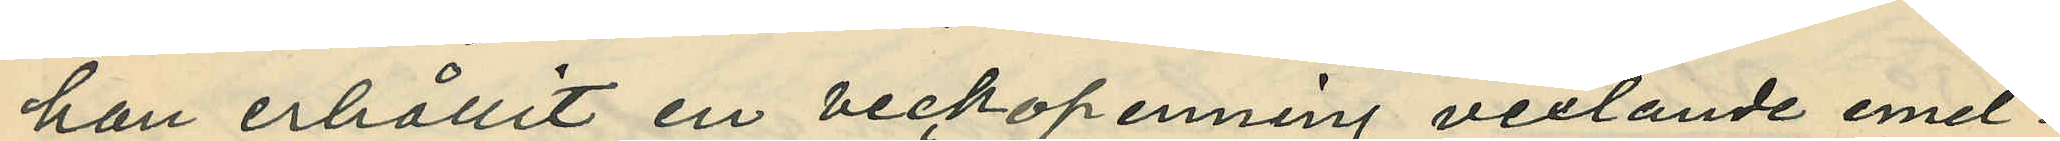han erhållit en veckopenning vexlande emel¬
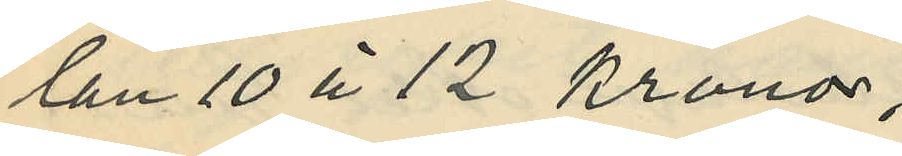lan 10 à 12 kronor,
